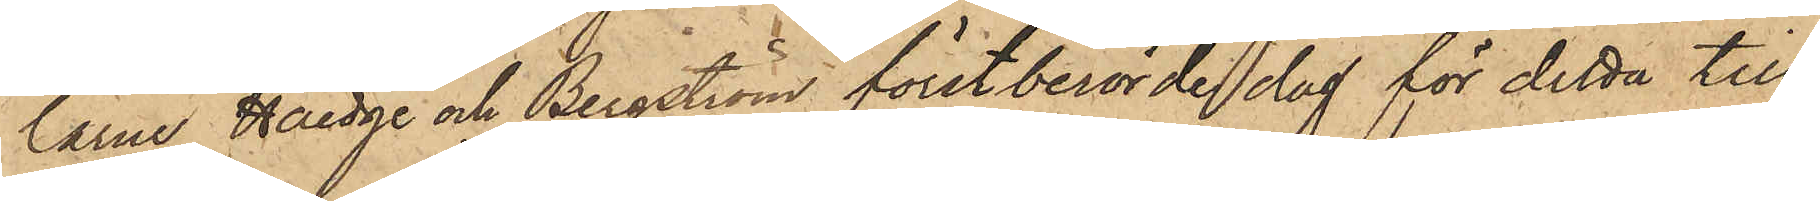larne Haedge och Bergström förstberörde dag för detta till¬
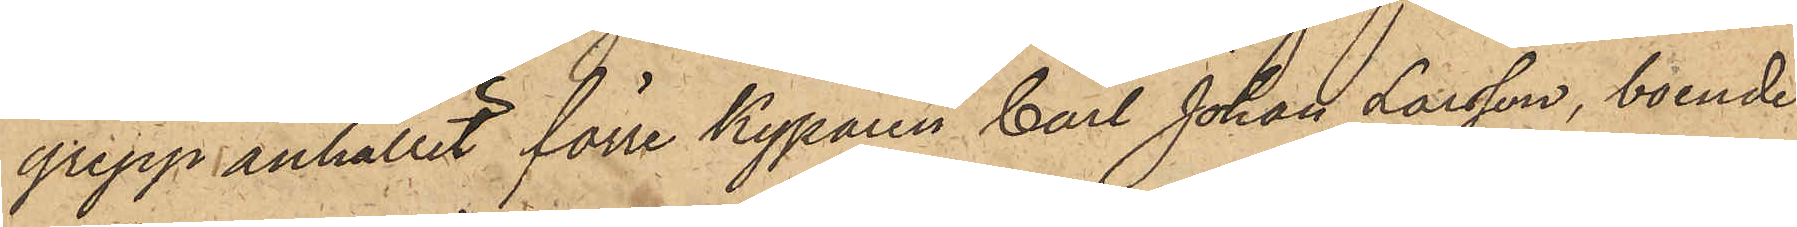grepp anhållit förre Kyparen Carl Johan Larsson, boende
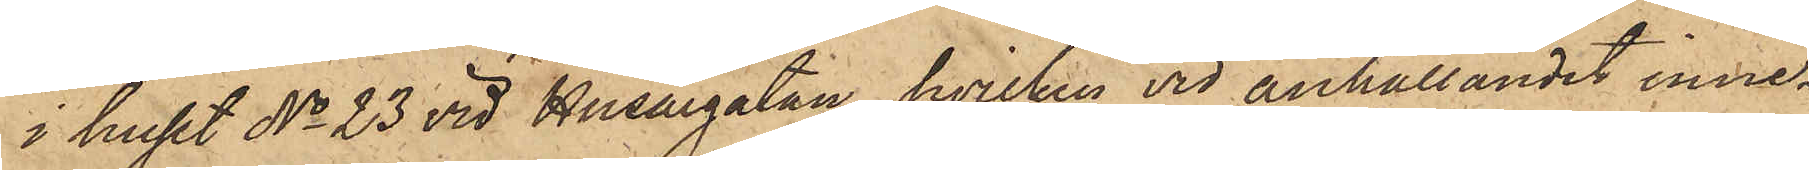i huset No 23 vid Husargatan, hvilken vid anhållandet inne¬
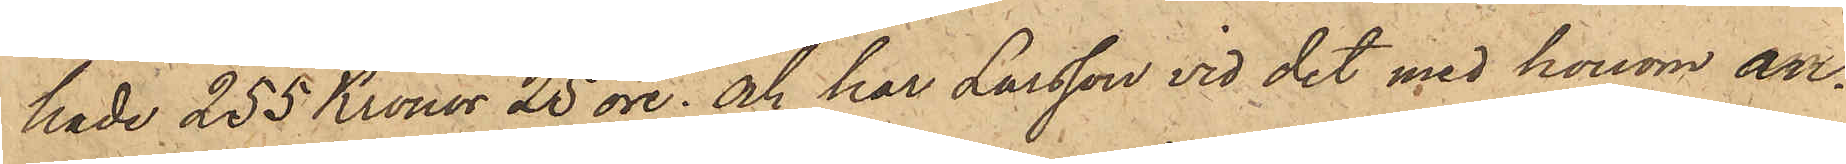hade 255 Kronor 25 öre; och har Larsson vid det med honom an¬
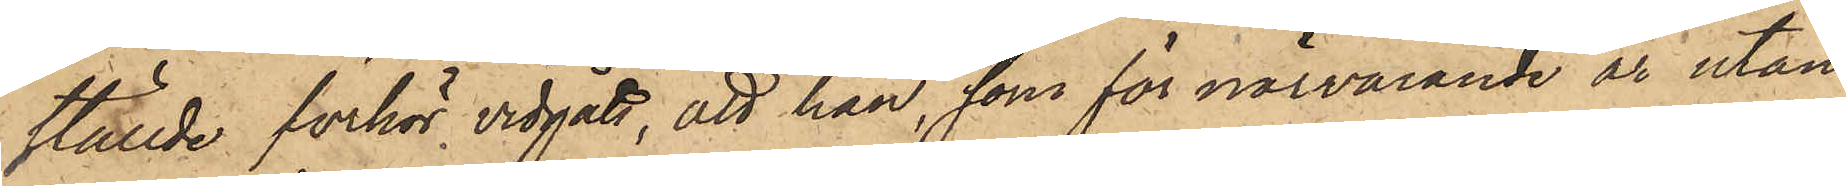ställde förhör vidgått, att han, som för närvarande är utan
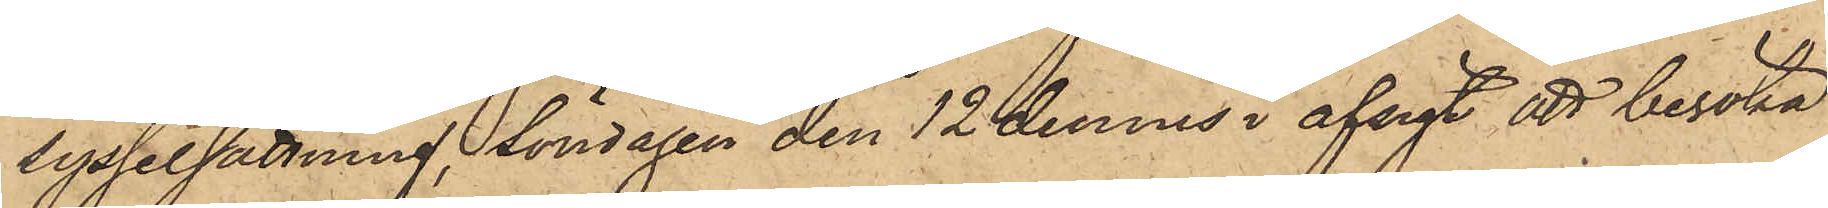sysselsättning, söndagen den 12 dennes i afsigt att besöka
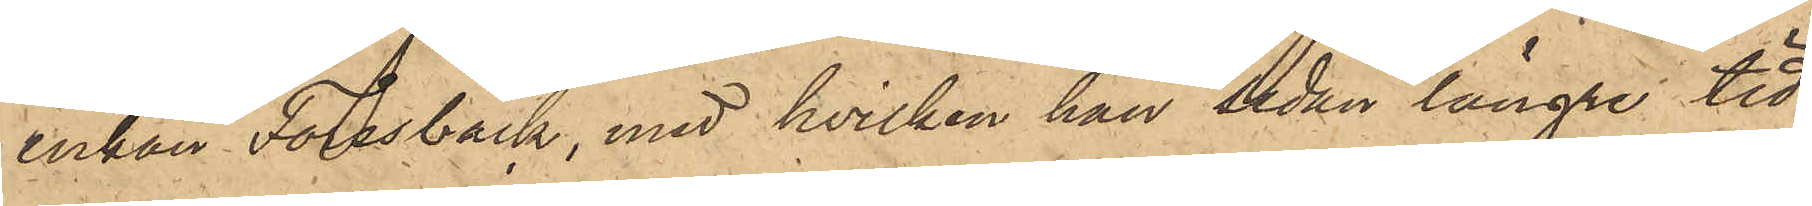enkan Forsbäck, med hvilken han sedan längre tid
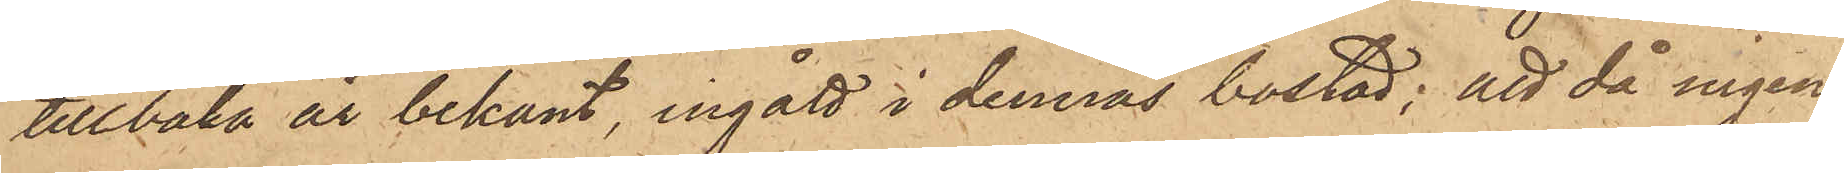tillbaka är bekant, ingått i dennas bostad; att då ingen
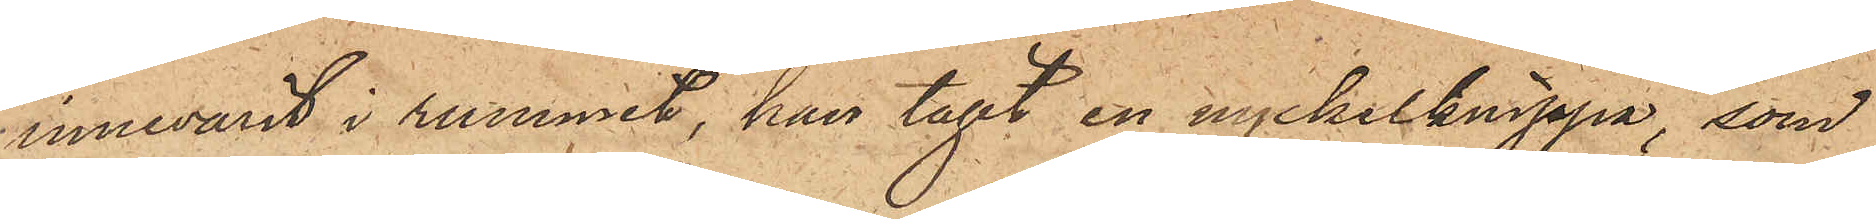innevarit i rummet, han tagit en nyckelknippa, som
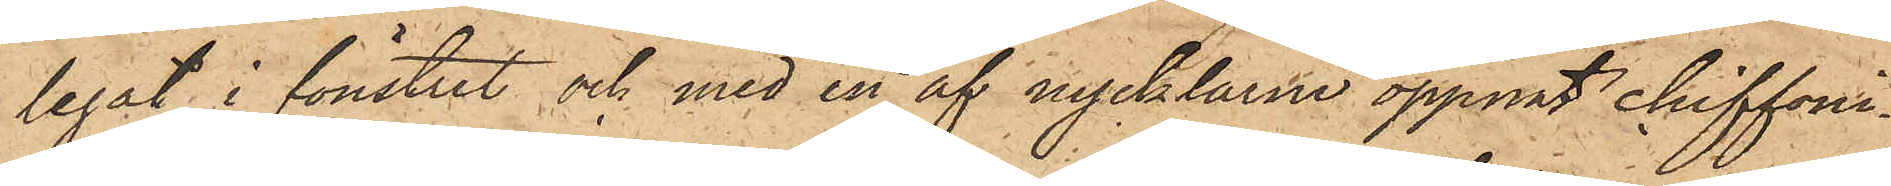legat i fönstret och med en af nycklarne öppnat chiffoni¬
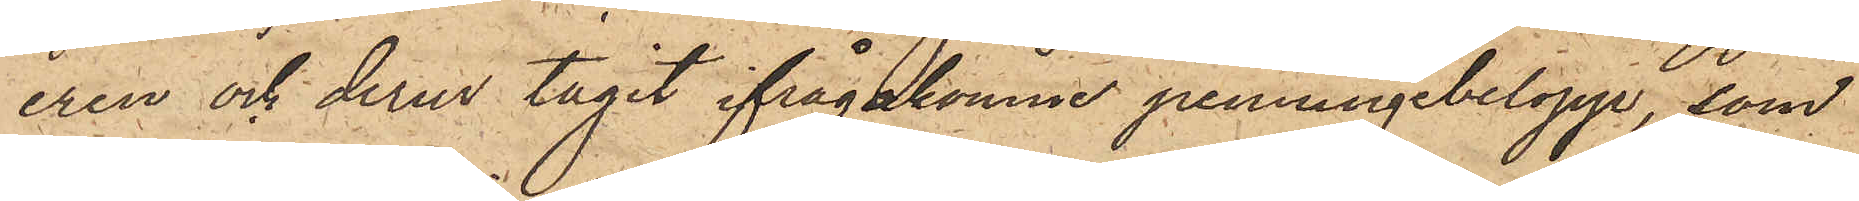eren och derur tagit ifrågakomne penningebelopp, som
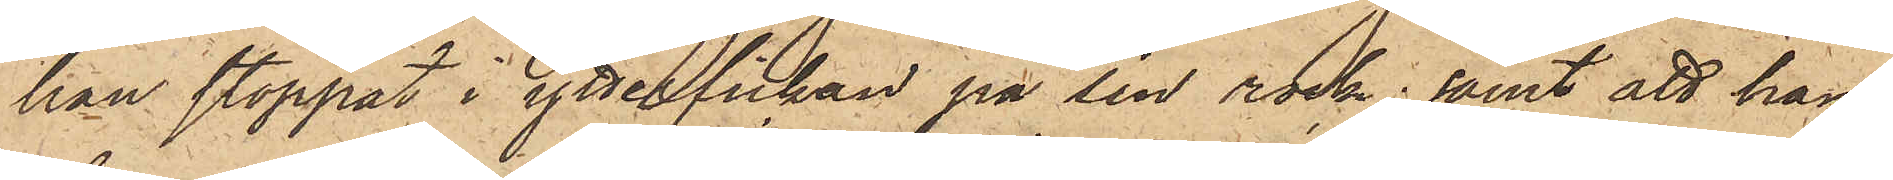han stoppat i ytterfickan på sin rock; samt att han
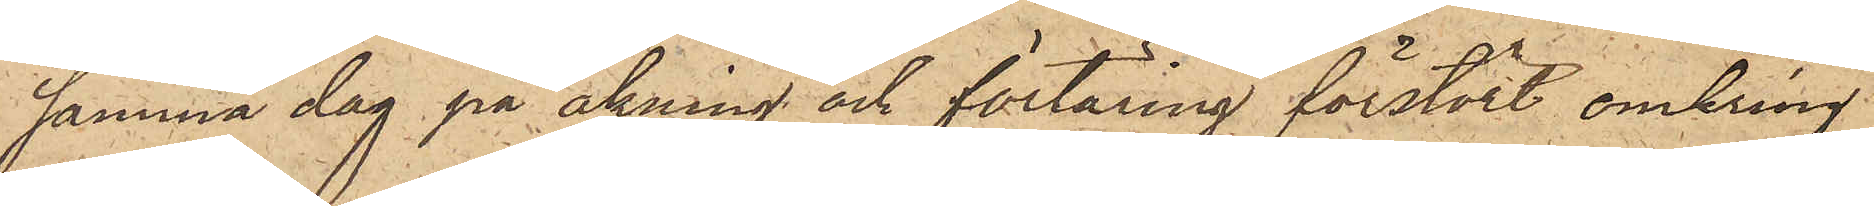samma dag på åkning och förtäring förstört omkring
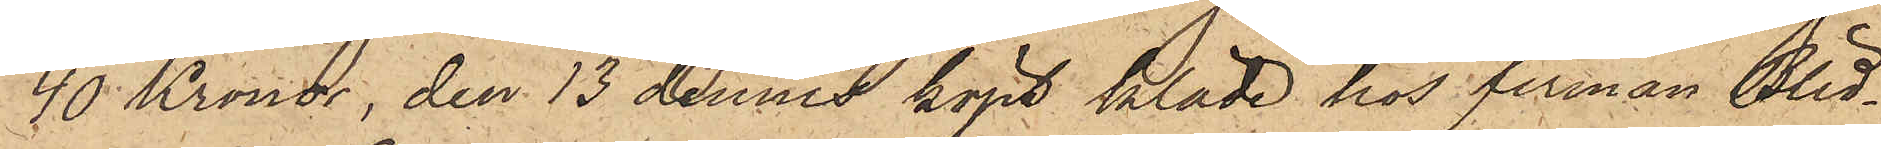40 Kronor, den 13 dennes köpt kläde hos firman Blid¬
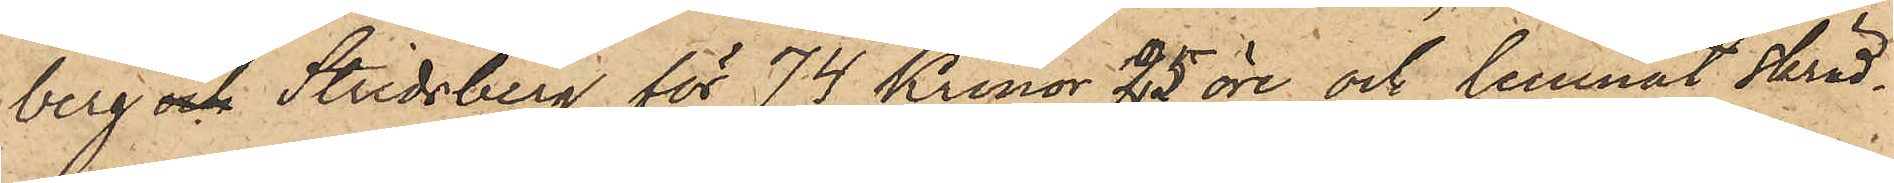berg & Stridsberg för 74 Kronor 25 öre och lemnat skräd¬
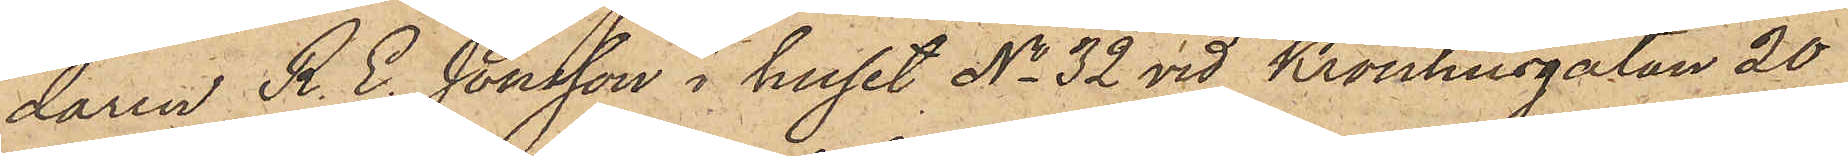daren R. E. Jonsson i huset No 32 vid Kronhusgatan 20
